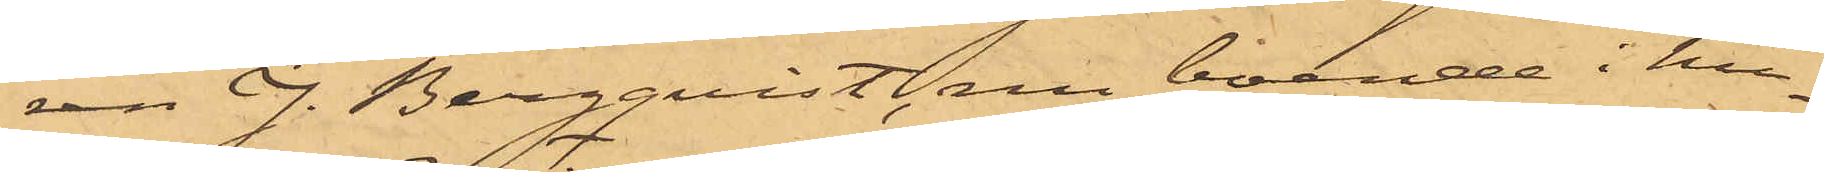ren G. Bergqvist, nu boende i hu¬
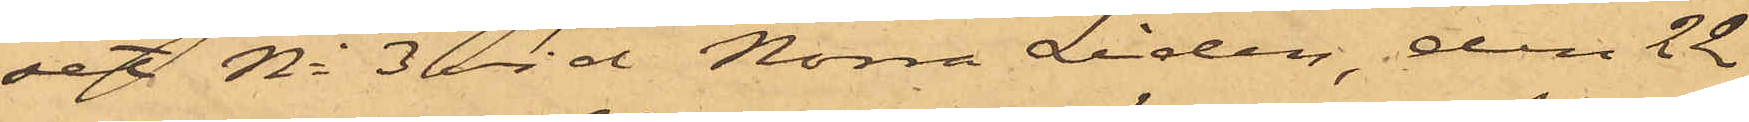set No 3 vid Norra Liden, den 22
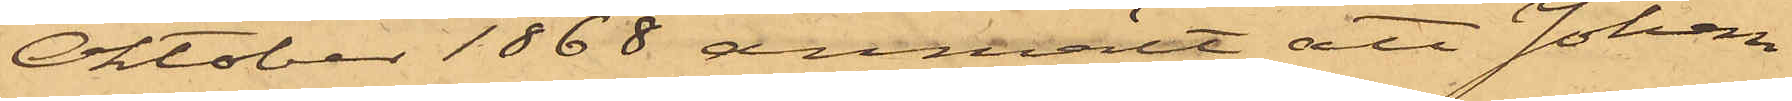Oktober 1868 anmält att Johan
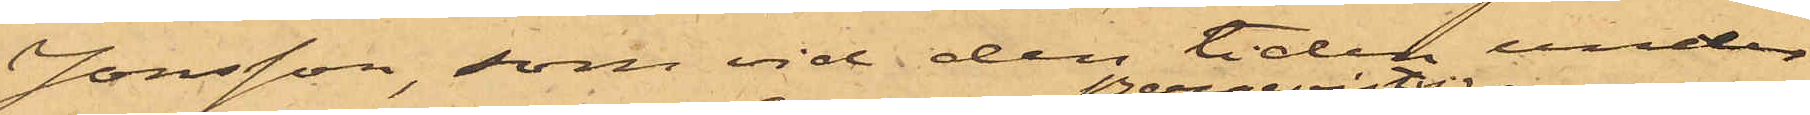Jonsson, som vid den tiden under
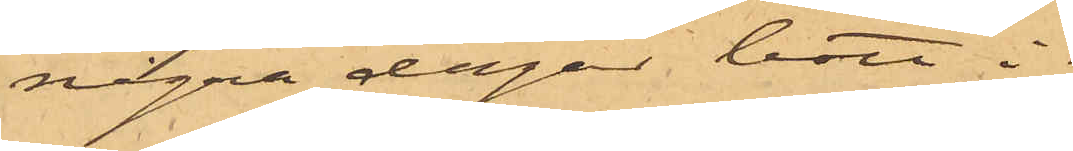några dagar bott i
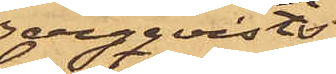Bergqvists
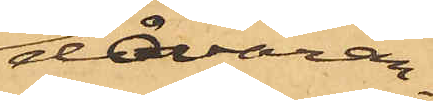dåvaran¬
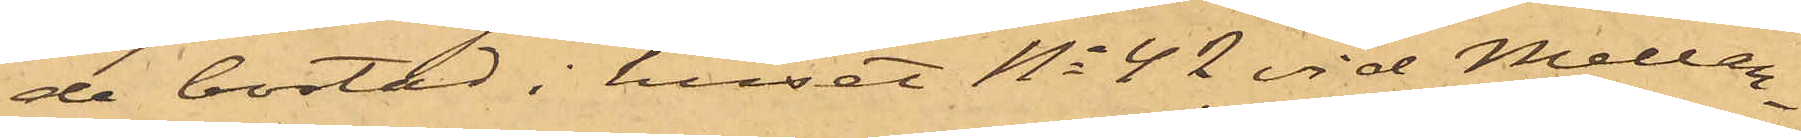de bostad i huset No 42 vid Mellan¬
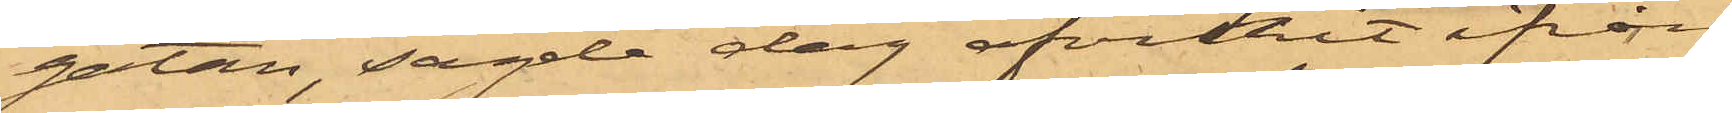gatan, sagde dag afvikit ifrån
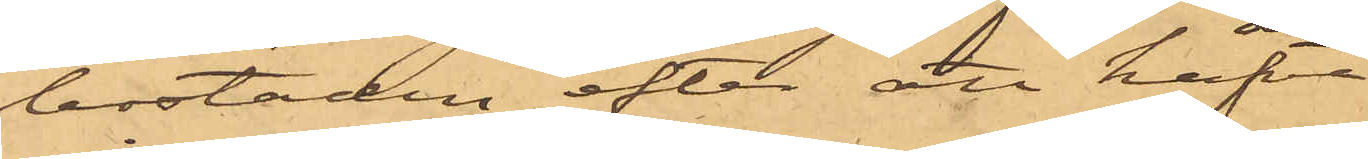bostaden efter att hafva
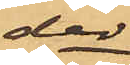der
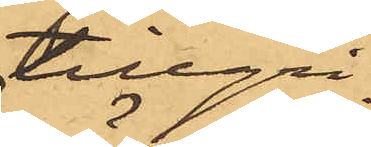tillgri¬
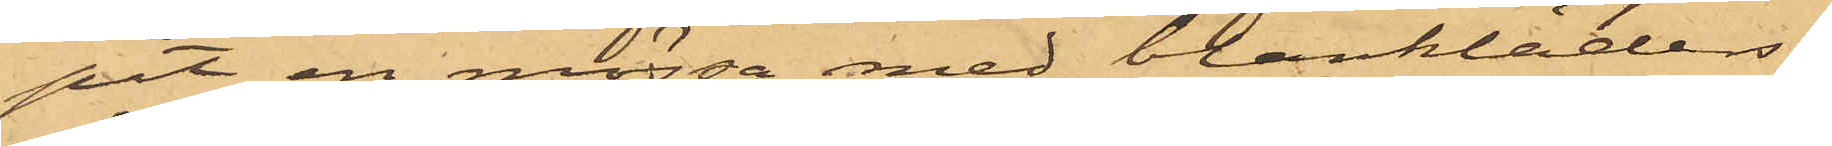pit en mössa med blankläders¬
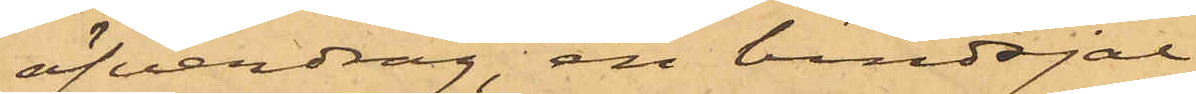öfverdrag, en bindsjal,
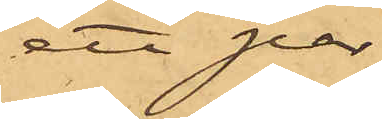ett par
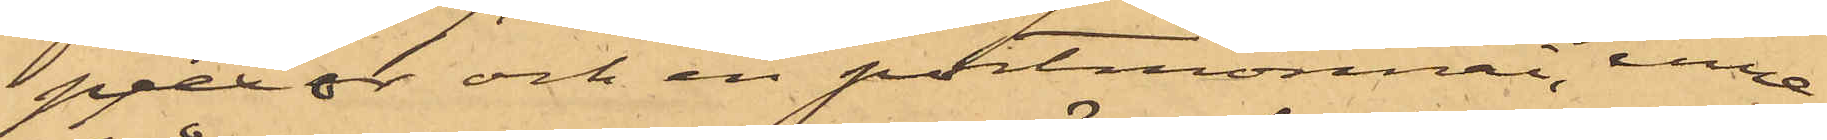pjexor och en portmonnai, inne¬
